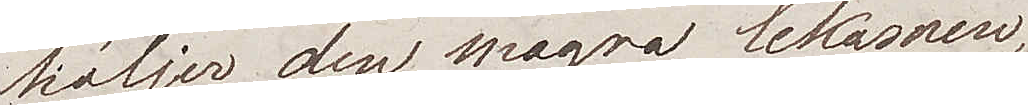höljer den magra lekamen,
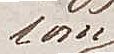som
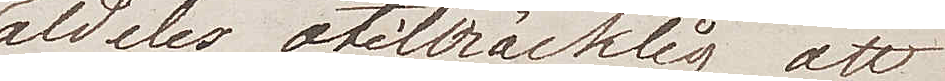aldeles otillräcklig att
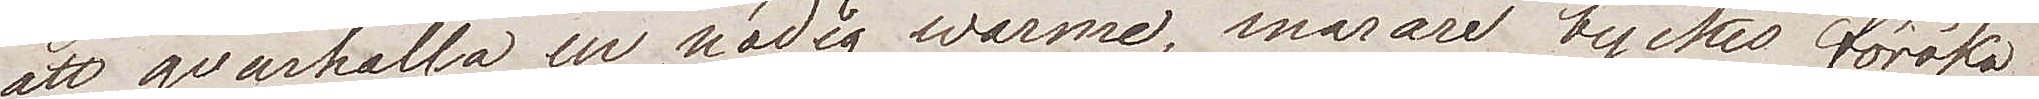att qvarhålla en nödig wärme, snarare tyckes föröka
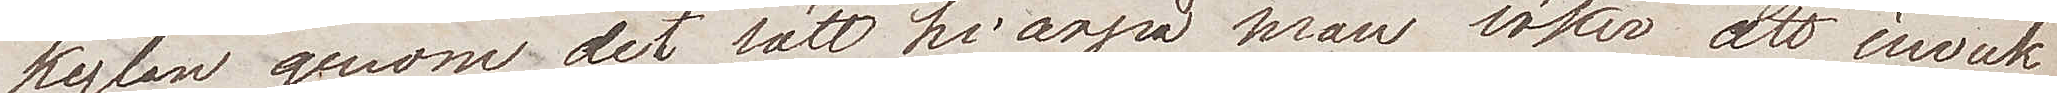kylan genom det sätt hvarpå man söker att inveck¬
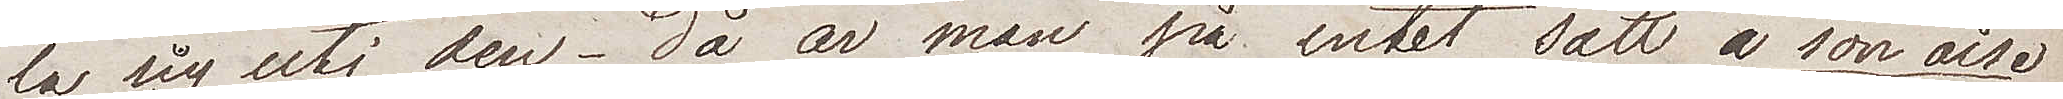la sig uti den – då är man på intet sätt à son aise
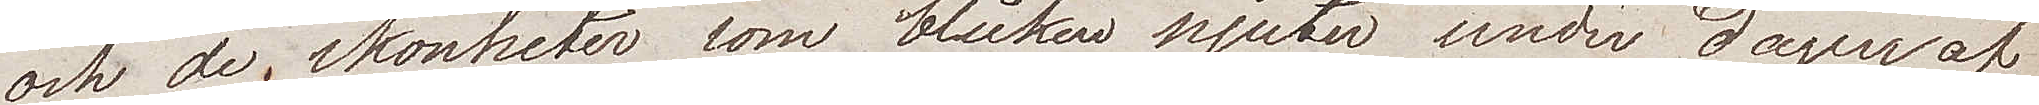och de skönheter som blicken njuter under dagen och
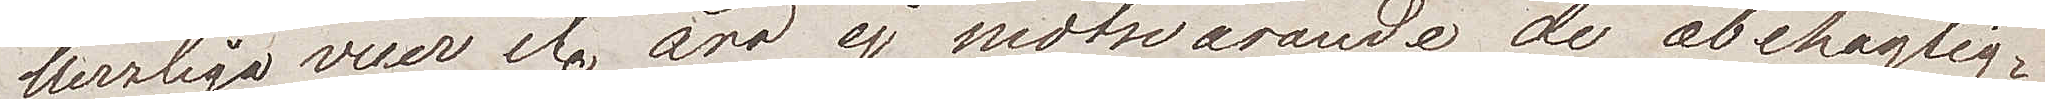herrliga vuer etc. äro ej motsvarande de obehaglig¬
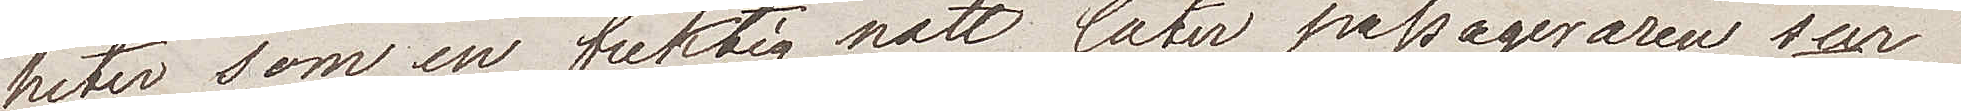heter som en fuktig natt låter passageraren sur
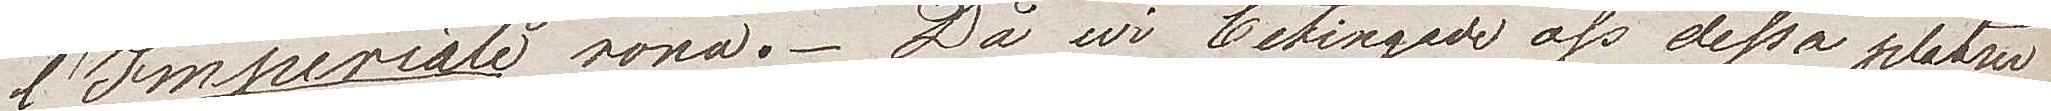l'Imperiale röna. Då wi betingade oss dessa platser
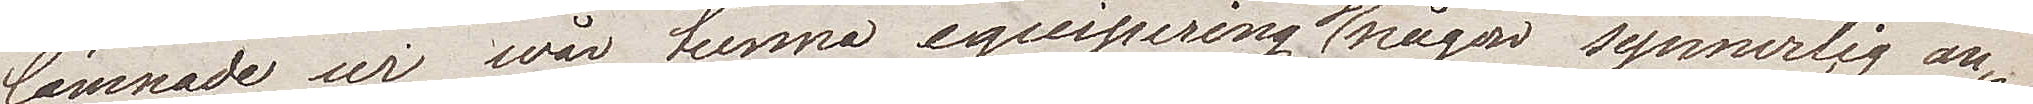lämnade wi wår tunna equipering ej någon synnerlig an¬
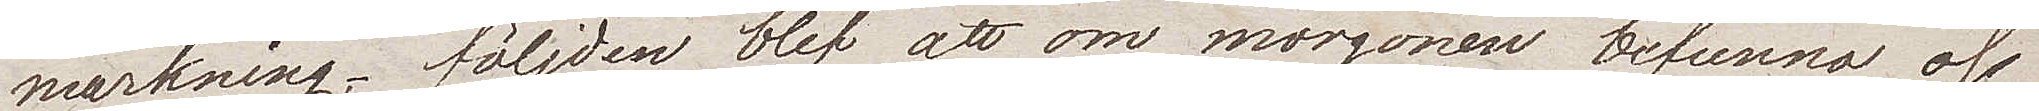märkning – följden blef att om morgonen befunno oss
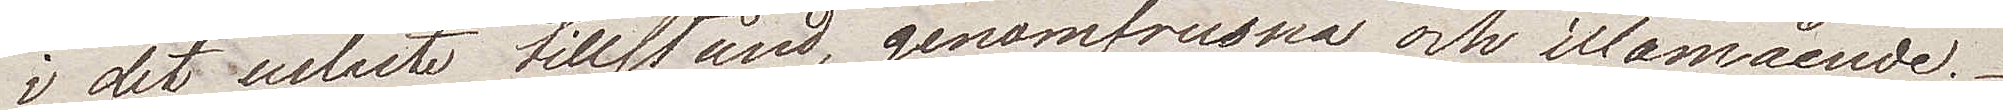i det uslaste tillstånd, genomfrusna och illamående.
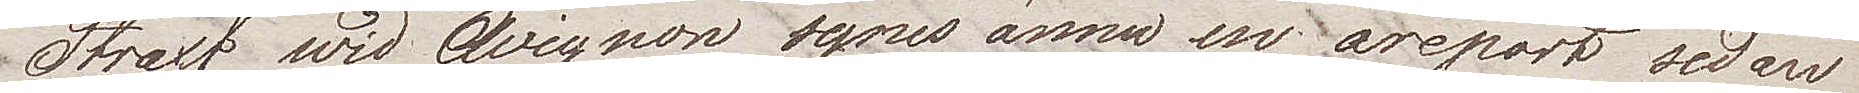Straxt wid Avignon synes ännu en äreport sedan
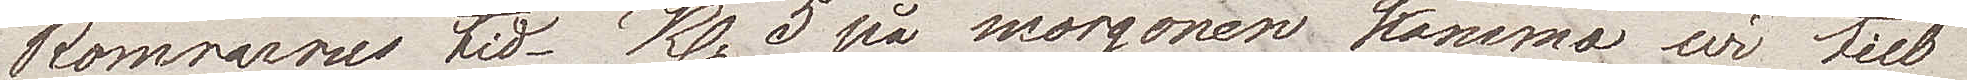Romarnes tid. Kl. 5 på morgonen kommo wi till
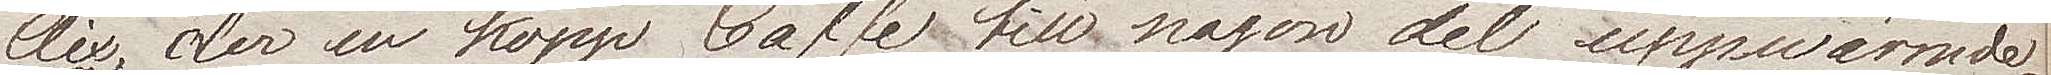Aix, der en kopp Caffe till någon del uppwärmde
